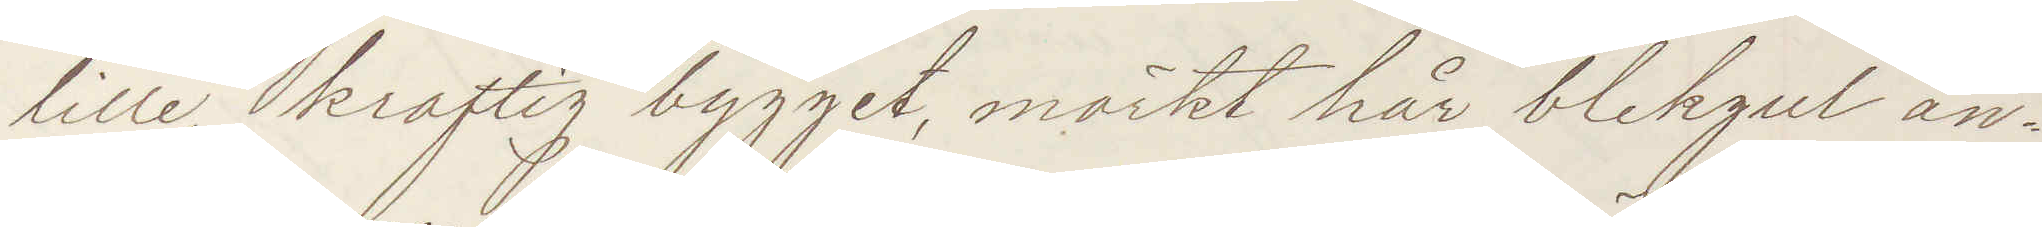lille, kraftig bygget, mörkt hår, blekgul an¬
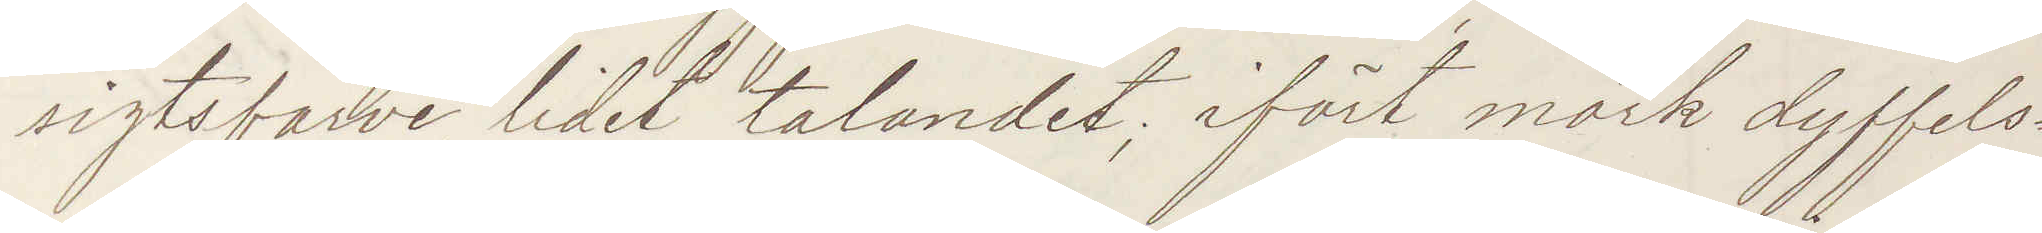sigtsfarve, lidet talandet; iförd mörk duffels¬
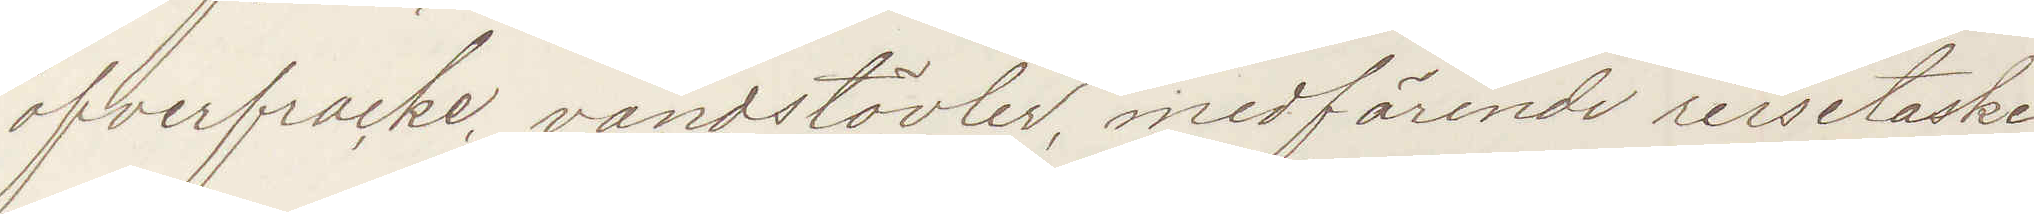ofverfracke, vandstövler, medförende reisetaske
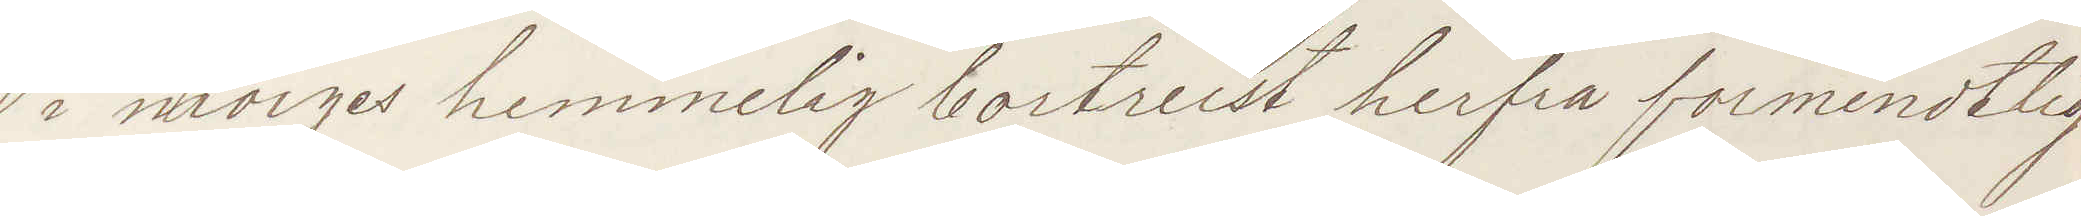i morges hemmelig bortreist herfra formendtlig
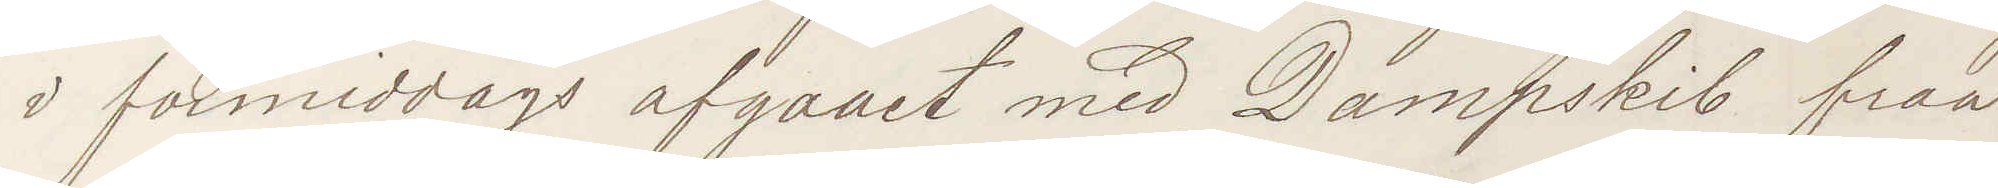i formiddags afgaaet med Dampskib fraa
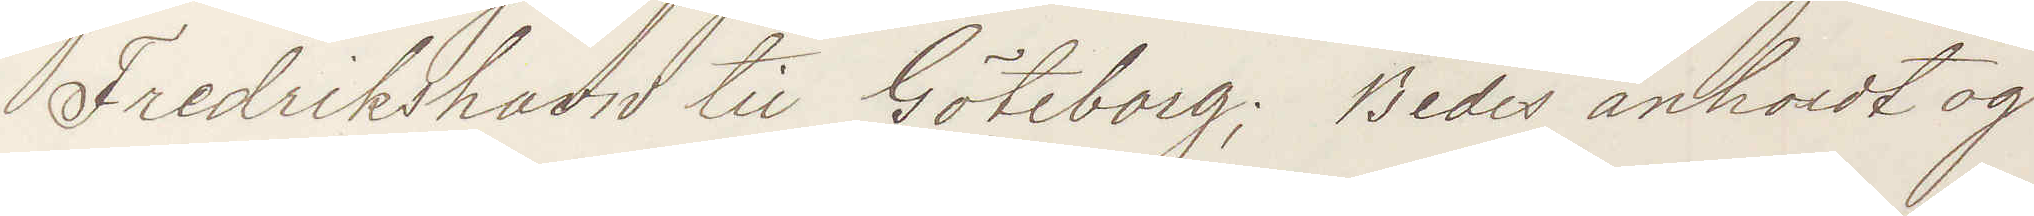Fredrikshavn til Göteborg; Bedes anholdt og
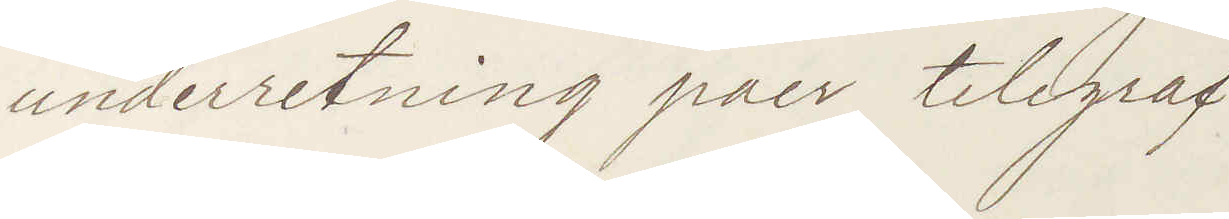underretning paer telegraf.
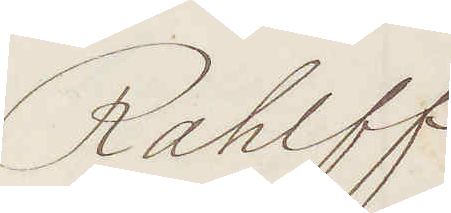Rahlff
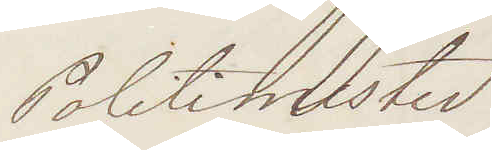Politimester
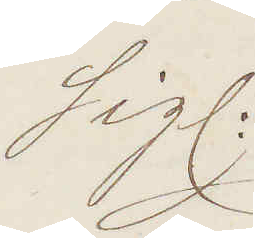Sigl:
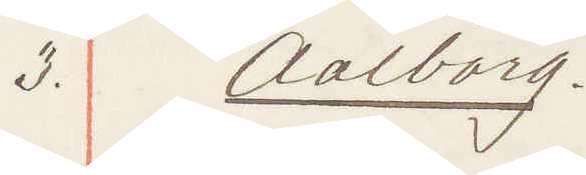3. Aalborg.
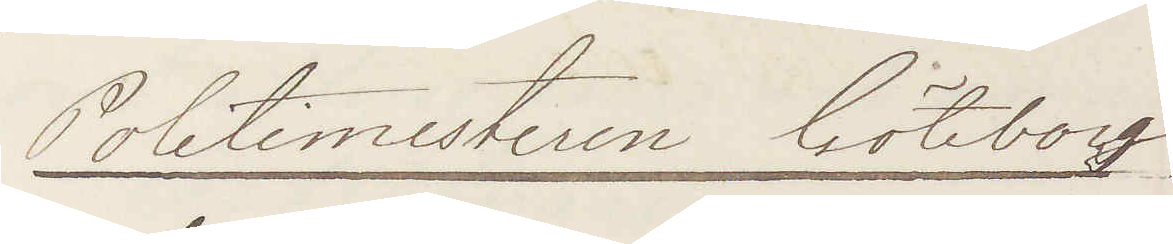Politimesteren Göteborg
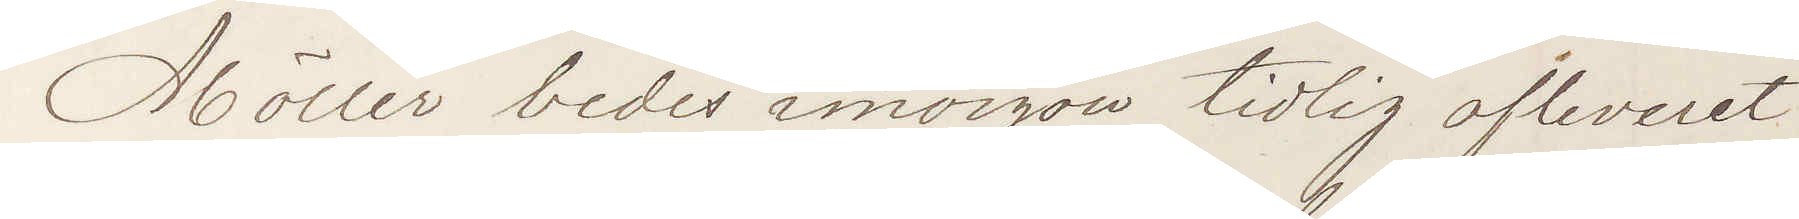Möller bedes imorgon tidlig afleveret
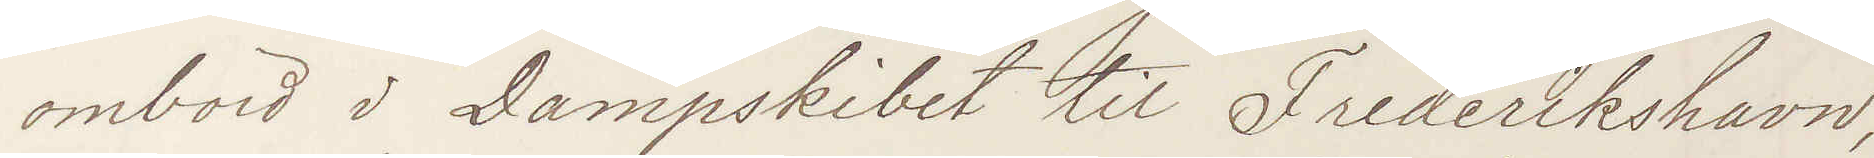ombord i Dampskibet til Frederikshavn,
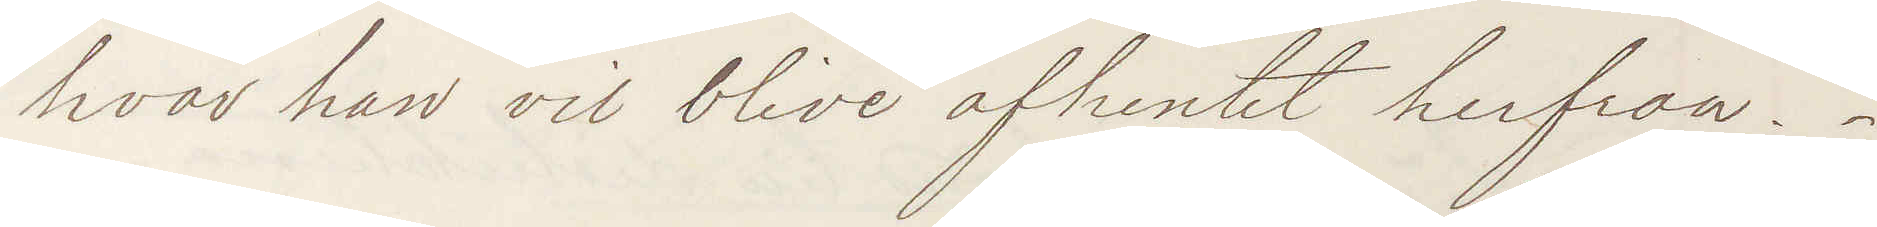hvar han vil blive afhemtet herfraa.
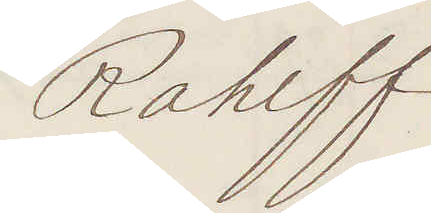Rahlff
